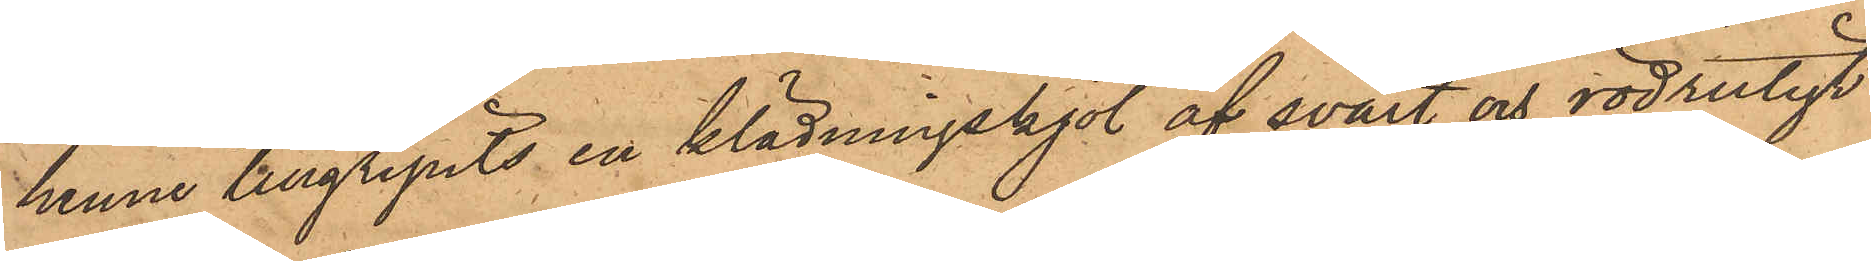henne tillgripits en klädningskjol af svart och rödrutigt
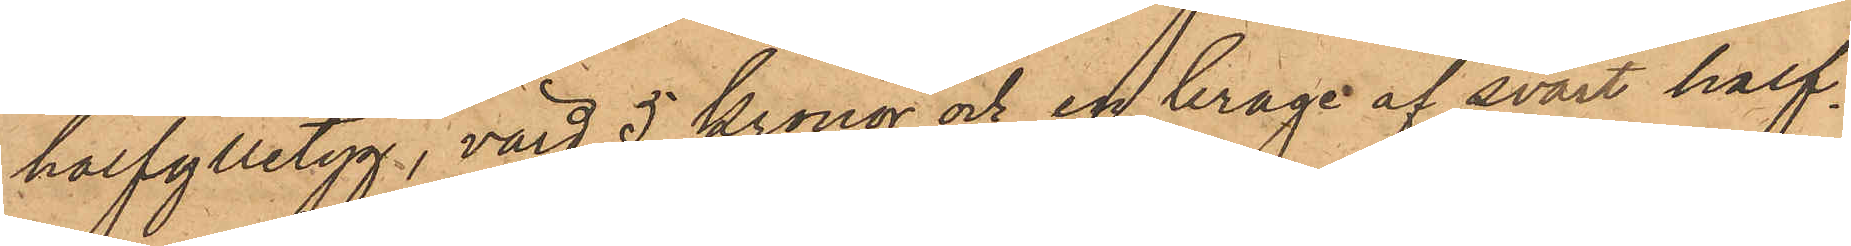halfylletyg, värd 5 kronor och en krage af svart half¬
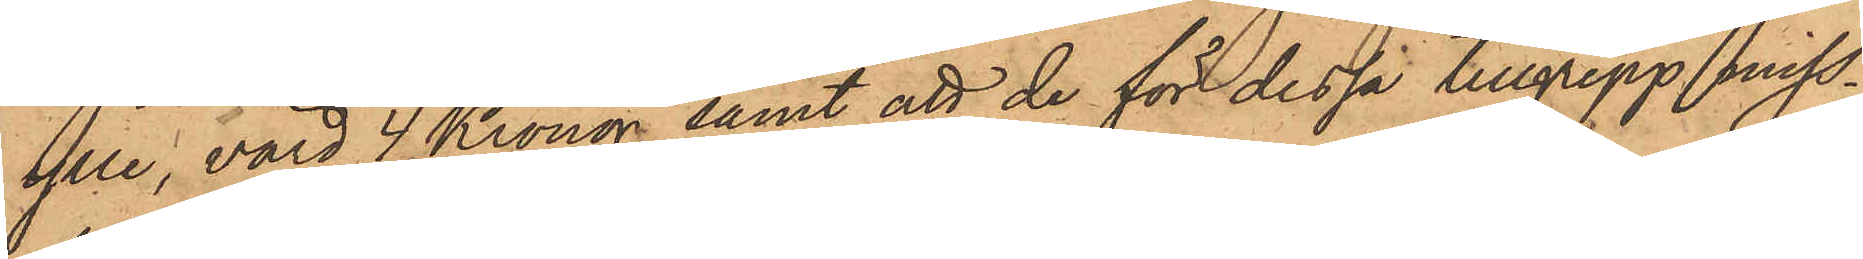ylle, värd 4 Kronor, samt att de för dessa tillgrepp miss¬
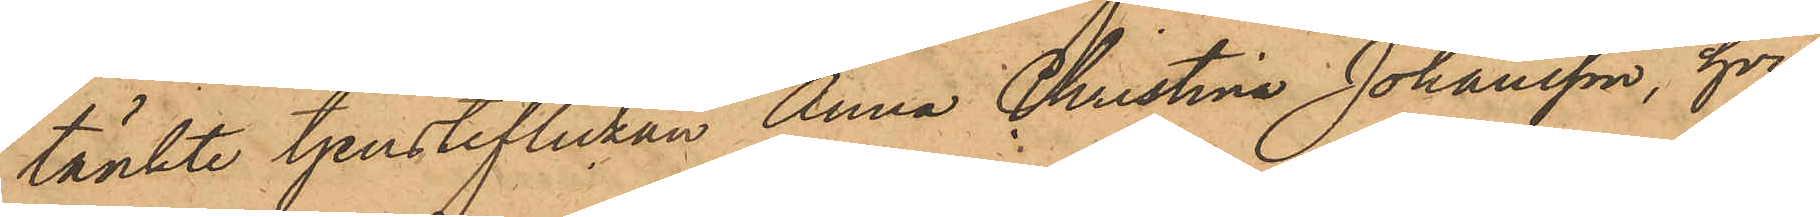tänkte tjensteflickan Anna Christina Johansson, hvil¬
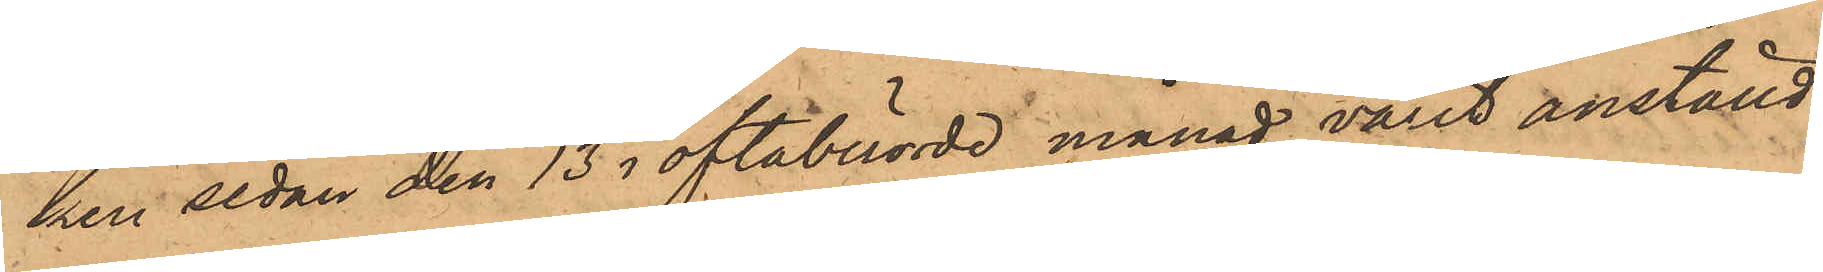ken sedan den 13 i oftaberörde månad varit anställd
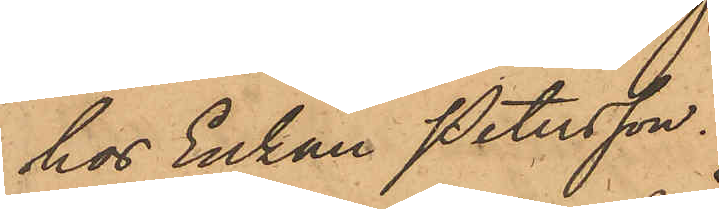hos Enkan Petersson.
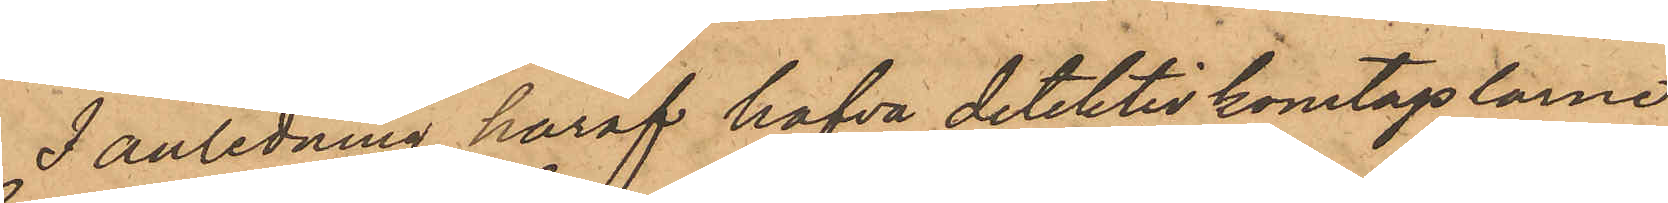I anledning häraf hafva detektivkonstaplarne
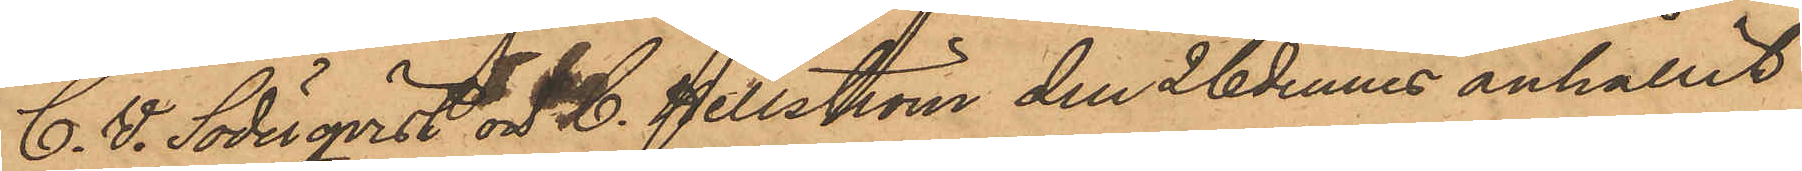C. V. Söderqvist och C. Hellström den 26 dennes anhållit
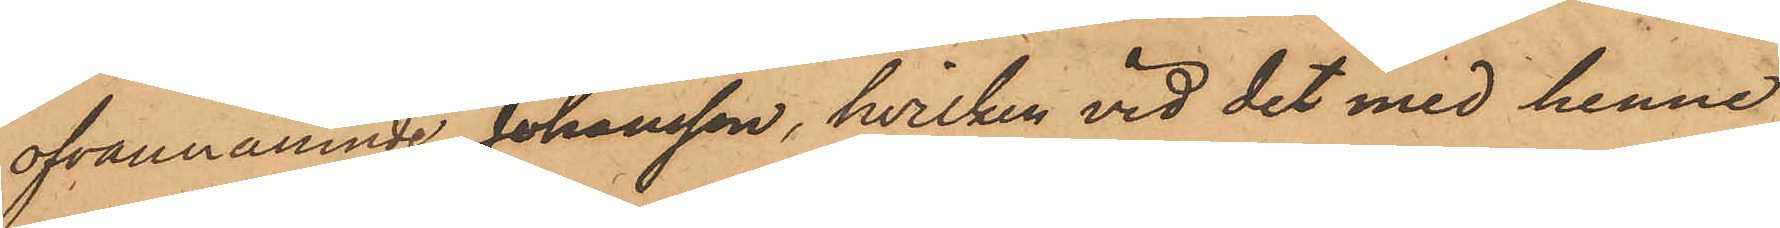ofvannämnde Johansson, hvilken vid det med henne
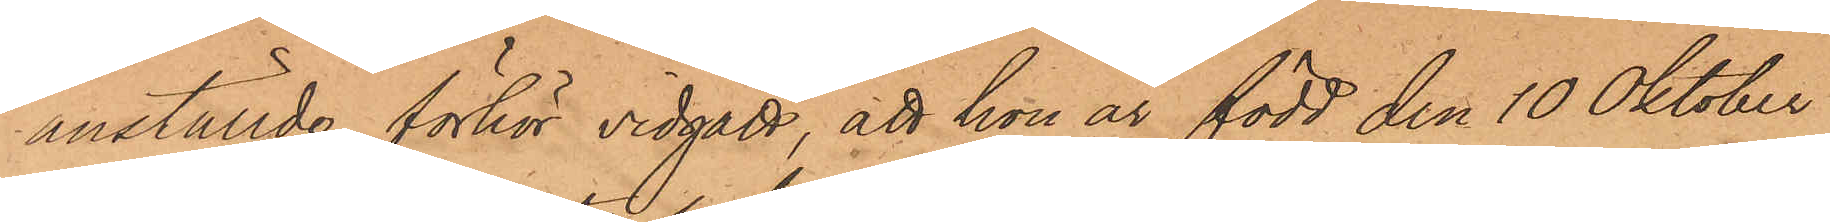anställde förhör vidgått, att hon är född den 10 Oktober
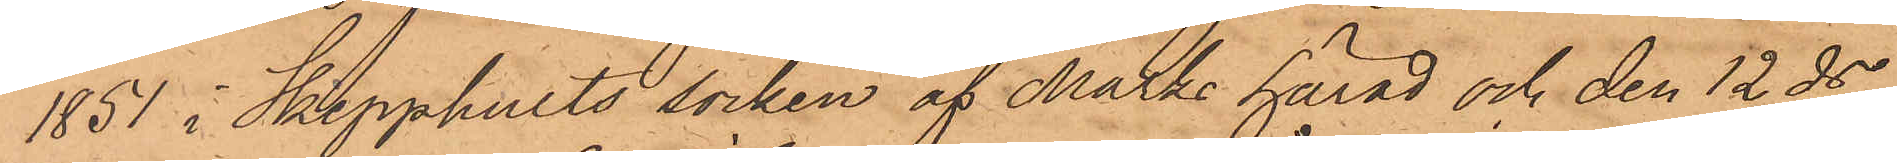1851 i Skepphults socken af Marks härad och den 12 ds
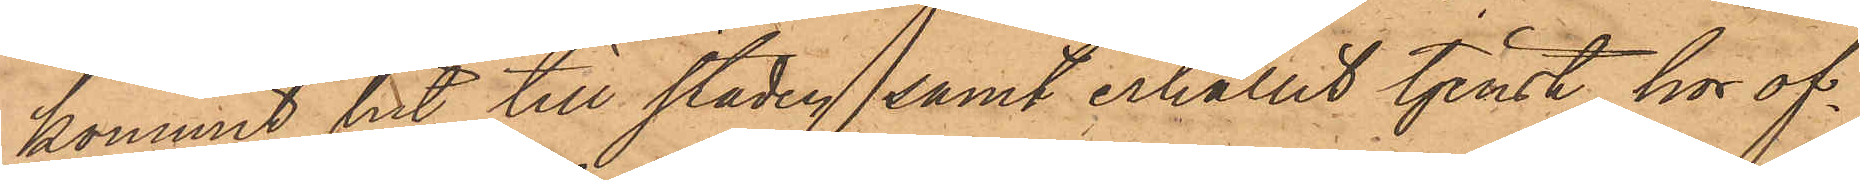kommit hit till staden, samt erhållit tjenst hos of¬
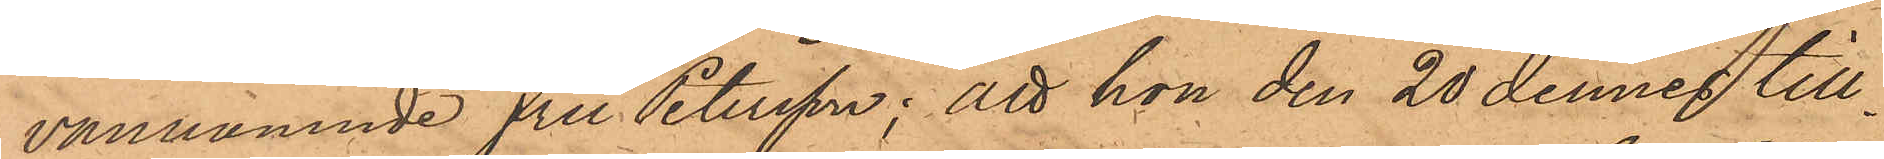vannämnde Fru Petersson; att hon den 20 dennes till¬
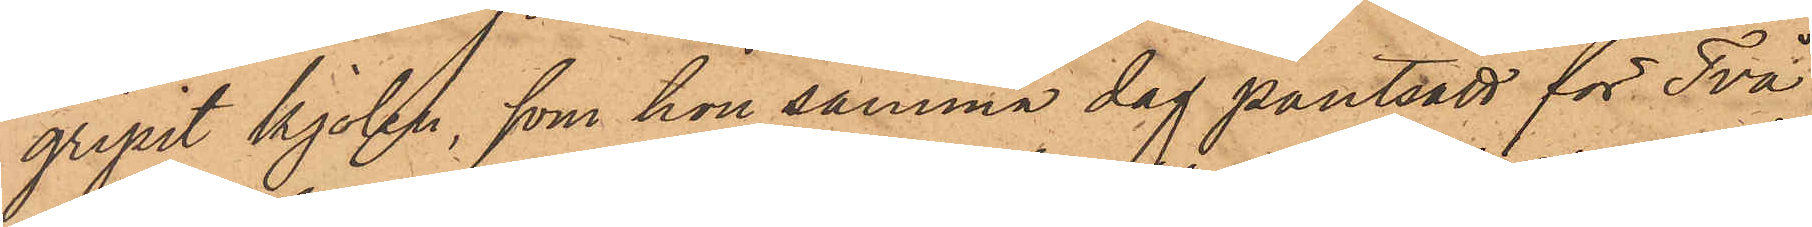gripit kjolen, som hon samma dag pantsatt för Två
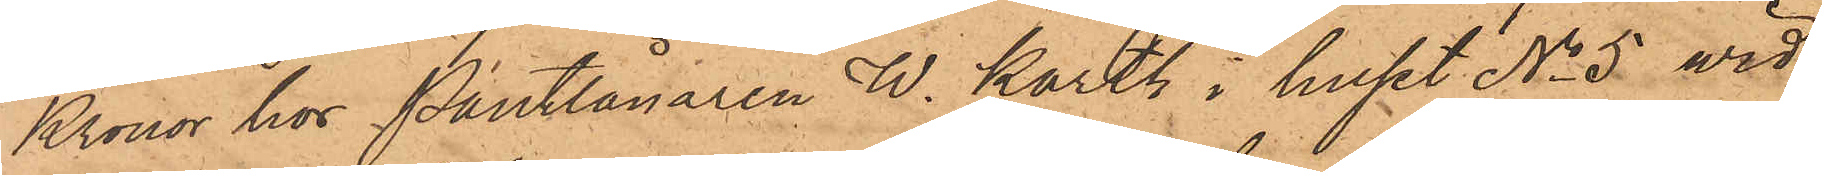Kronor hos Pantlånaren W. Karth i huset No 5 vid
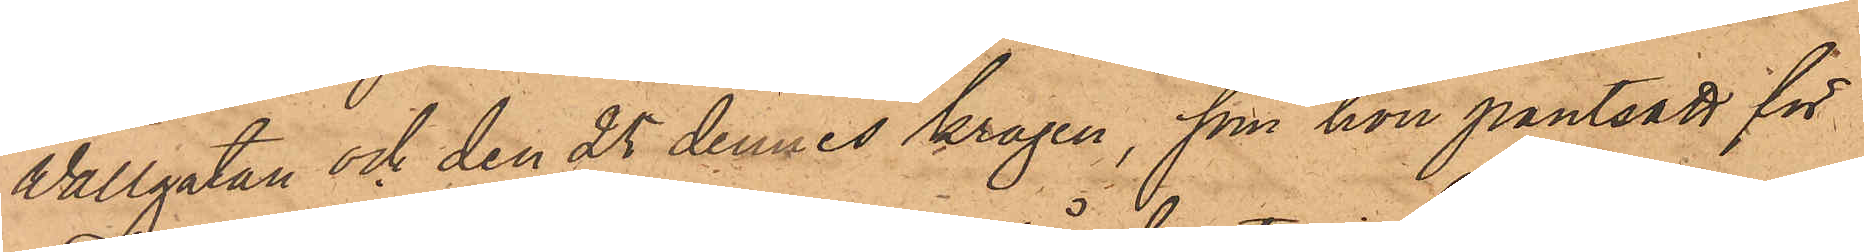Wallgatan och den 25 dennes kragen, som hon pantsatt för
